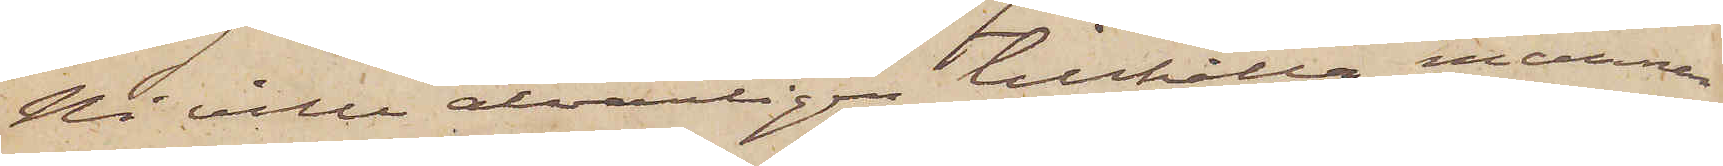Ni ville alvarligen tillhålla mannen
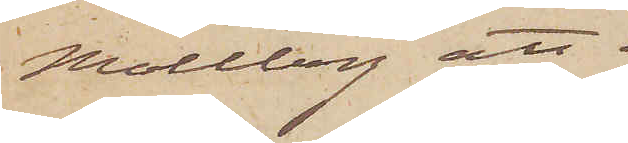Mollberg att
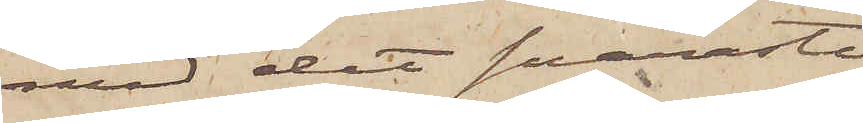med det snaraste
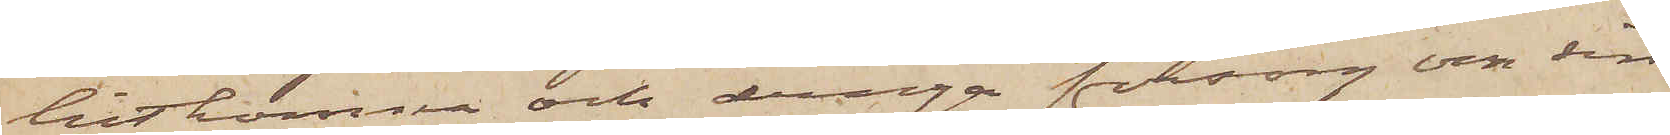hitkomma och draga försorg om sin
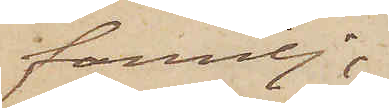familj;
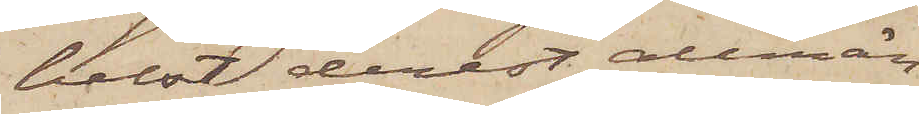helst derest allmän¬
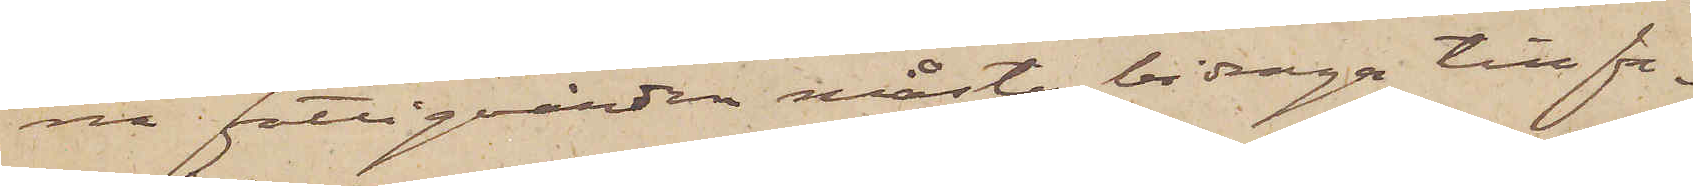na Fattigvården måste bidraga till fa¬
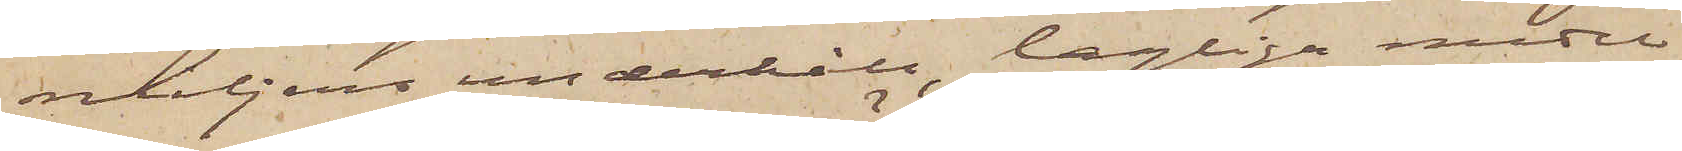miljens underhåll, lagliga medel
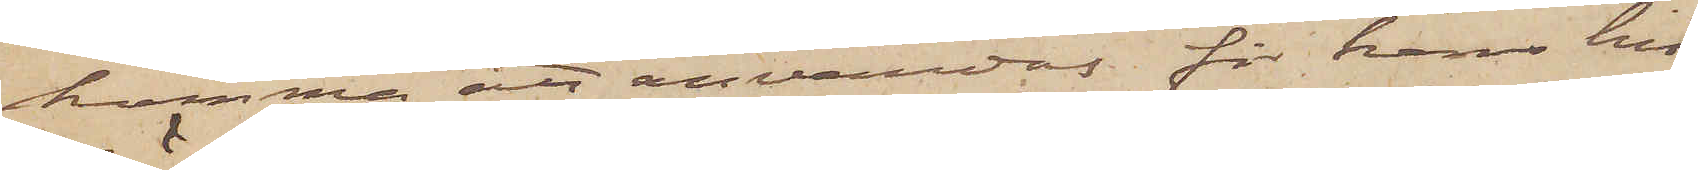komma att användas för hans hit¬
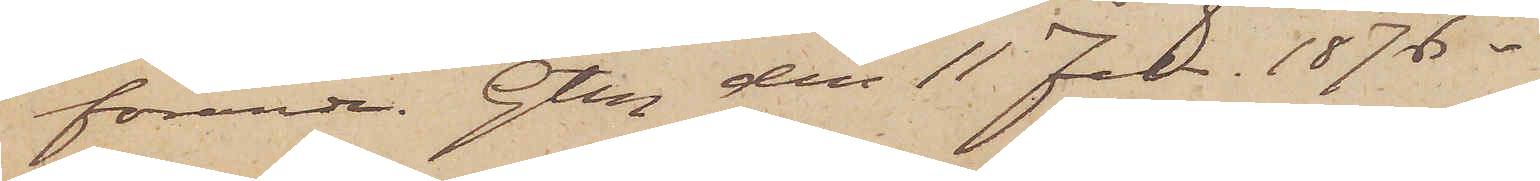förande. Gtbg den 11 Jan. 1876.
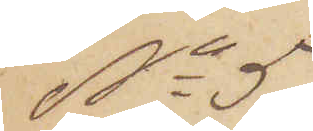No 5
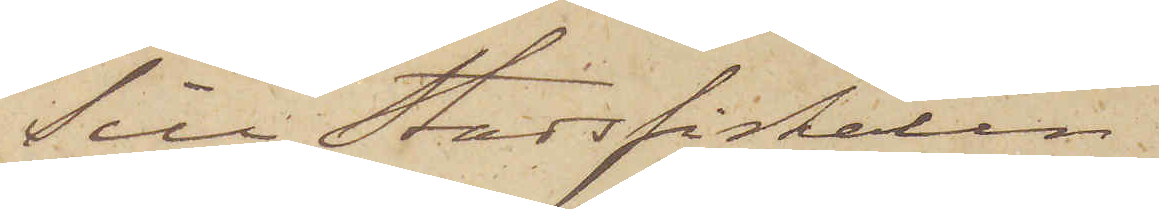Till Stadsfiskalen i
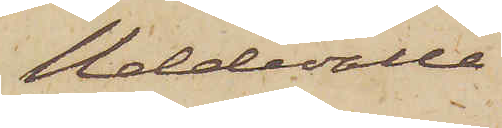Uddevalla.
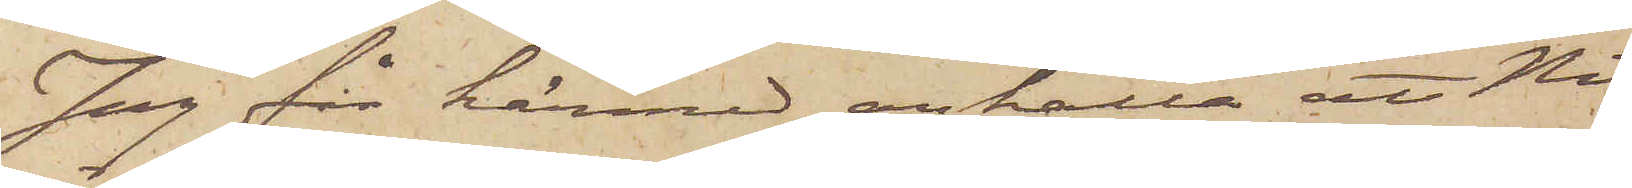Jag får härmed anhålla att Ni
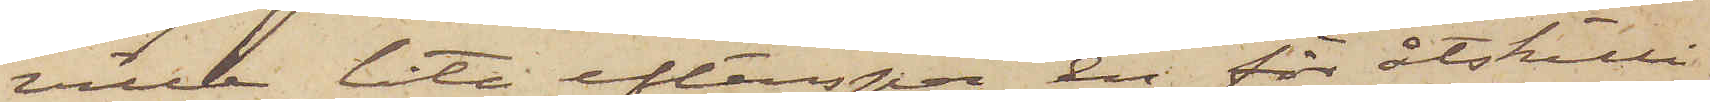ville låta efterspana en för åtskilli¬
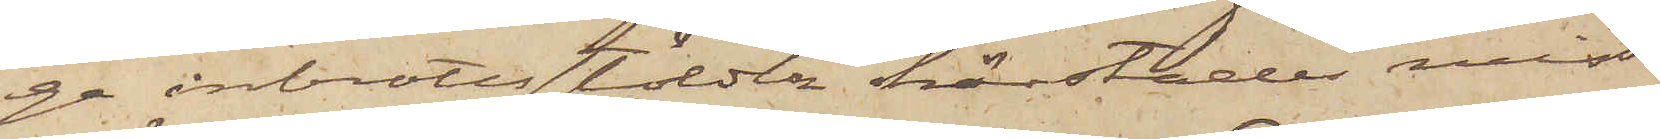ge inbrottsstölder härstädes miss¬
